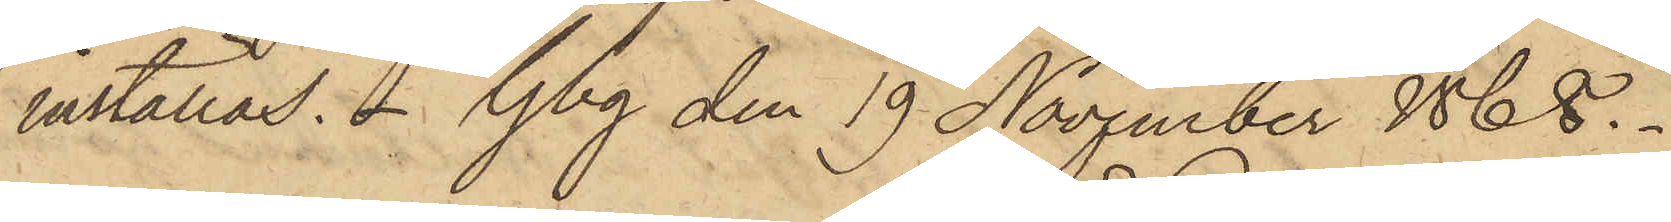inställas. Gbg den 19 November 1868.
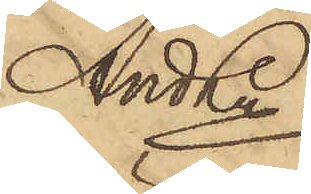And Ln.
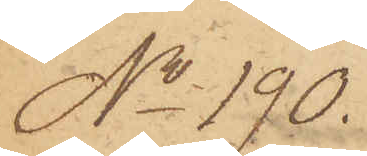No 190.
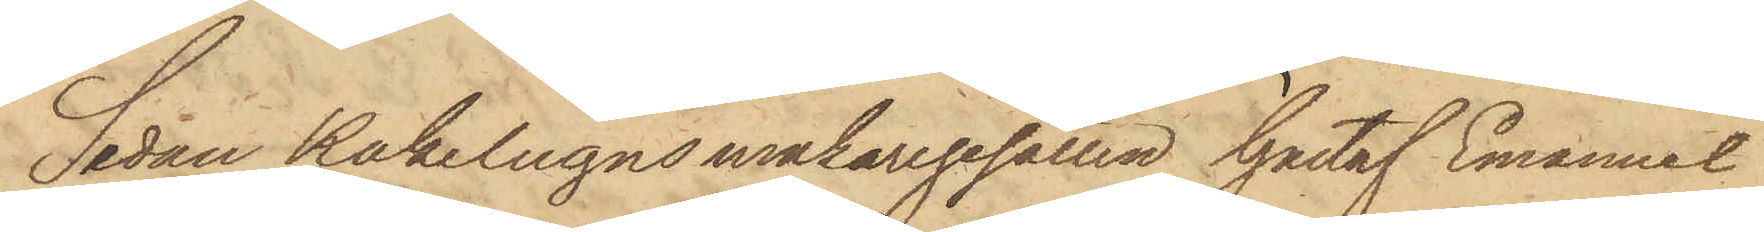Sedan Kakelugnsmakaregesällen Gustaf Emanuel
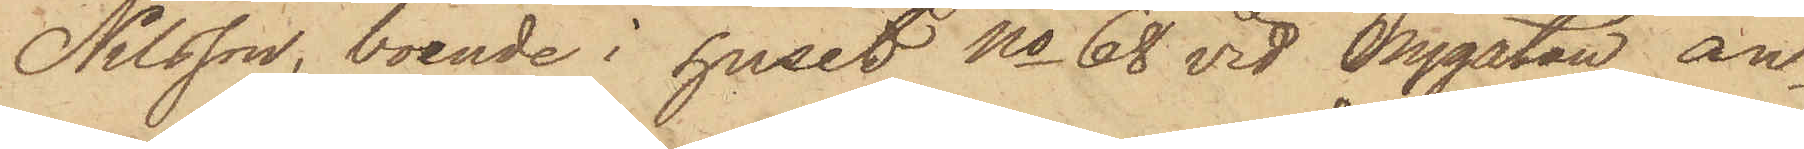Nilsson, boende i huset No 68 vid Nygatan, an¬
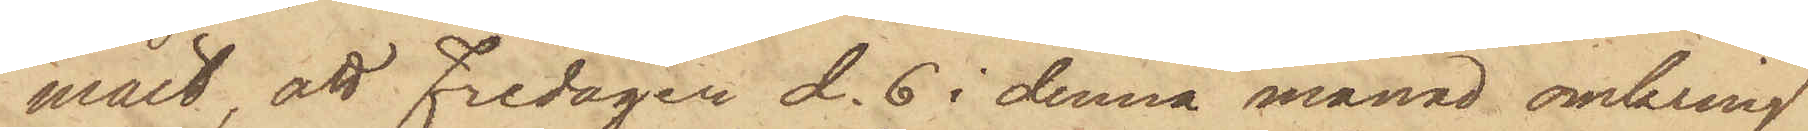mält att Fredagen d. 6 i denna månad omkring
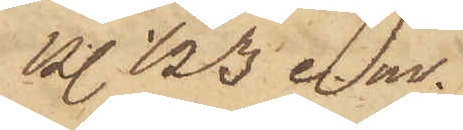kl. 1/2 3 e. m.
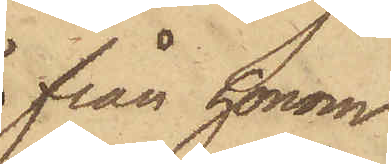från honom
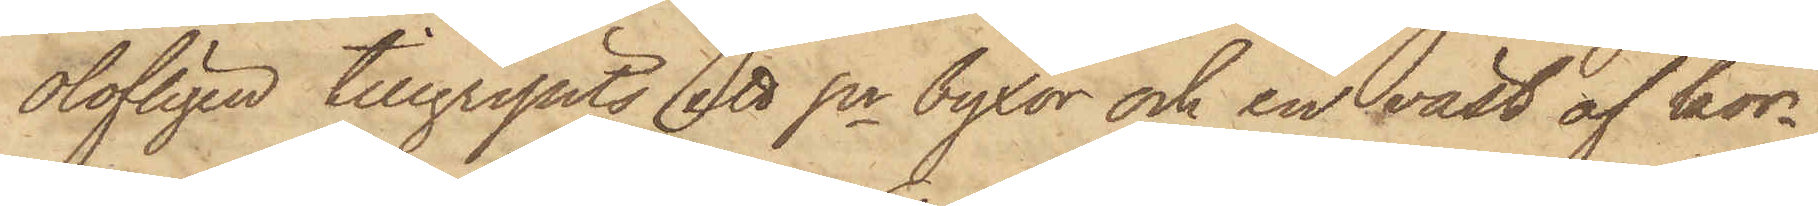olofligen tillgripits ett pr byxor och en väst af kor¬
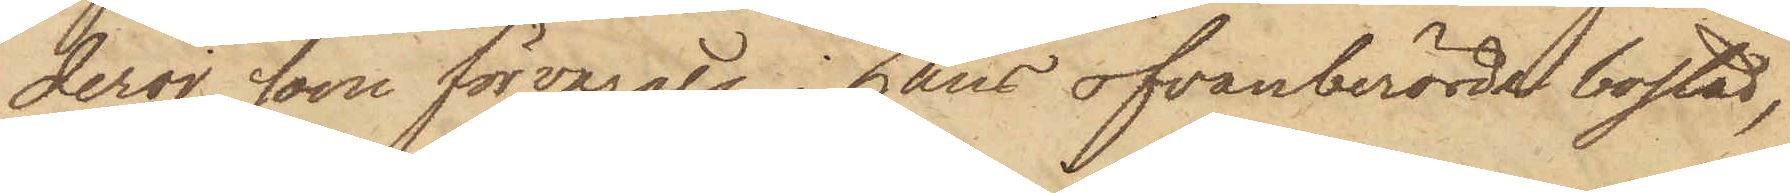deroj, som förvarats i hans ofvanberörde bostad,
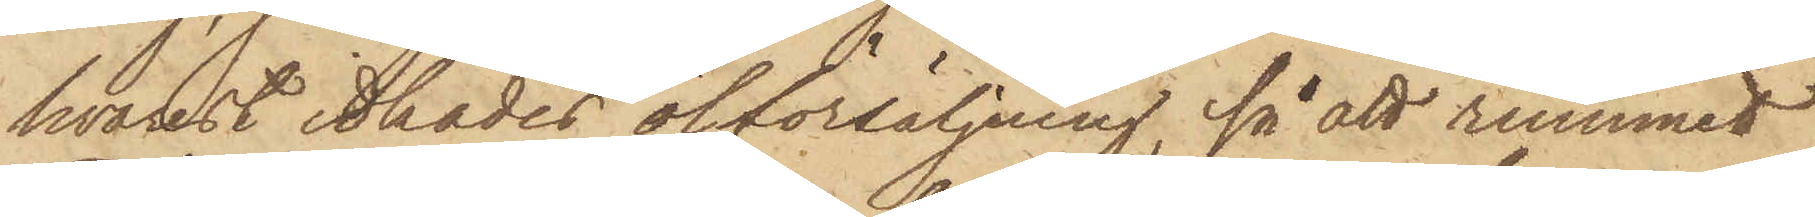hvarest idkades ölförsäljning, så att rummet
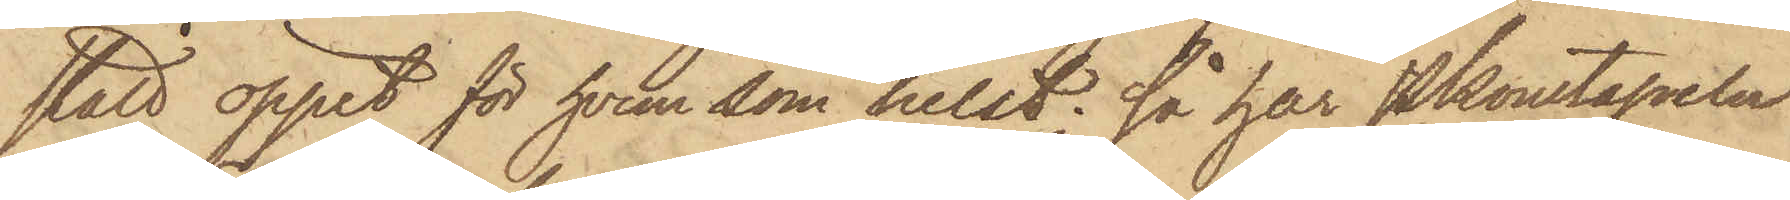stått öppet för hvem som helst; så har Pkonstapeln
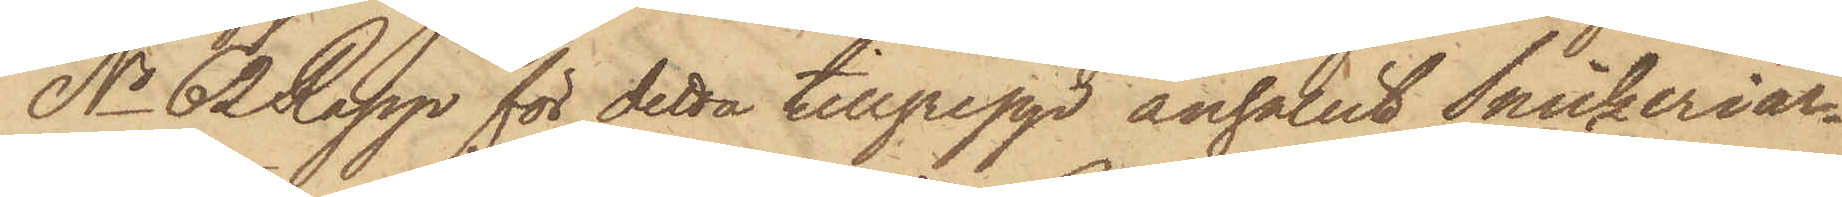No 62 Rapp för detta tillgrepp anhållit Snickeriar¬
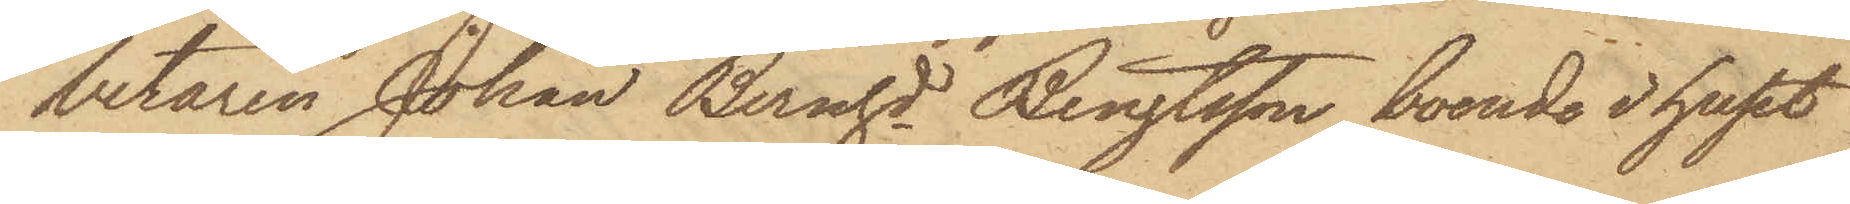betaren Johan Bernhd Bengtsson, boende i huset
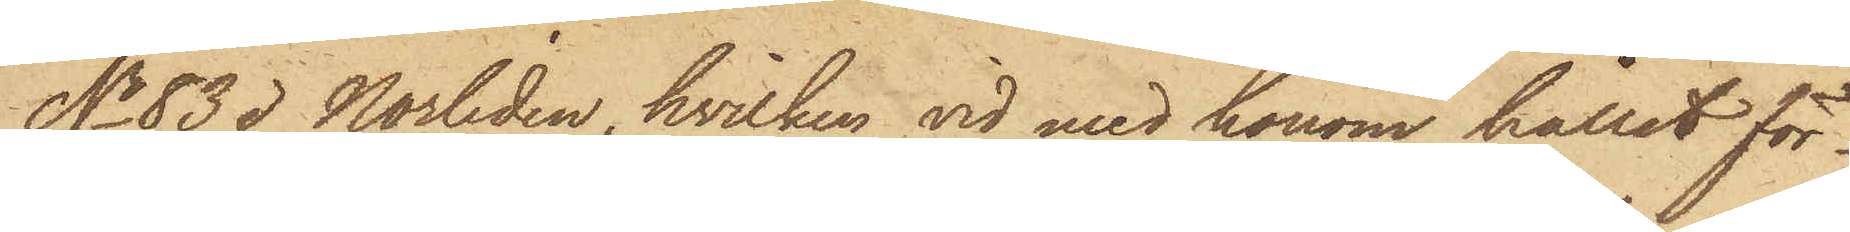No 83 i Norliden, hvilken vid med honom hållit för¬
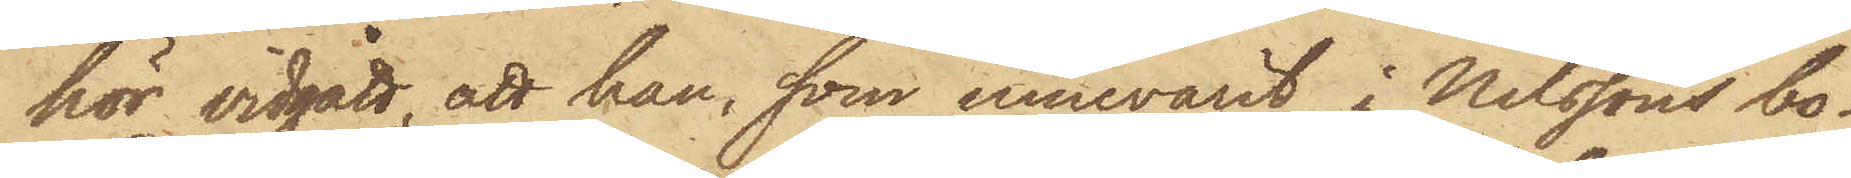hör vidgått, att han, som innevarit i Nilssons bo¬
